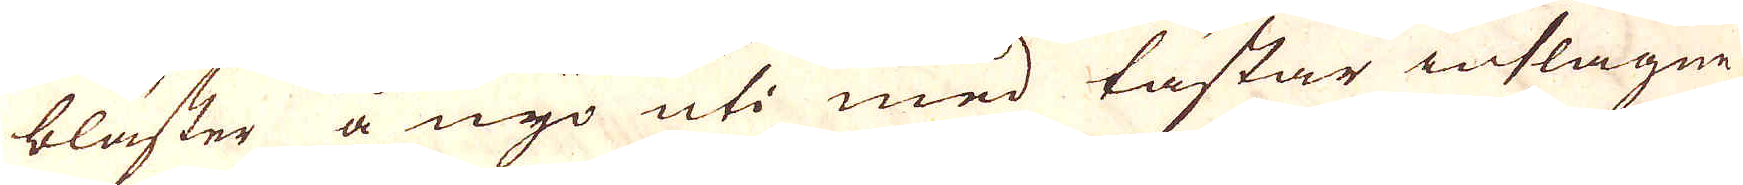bläster å nyo uti med tästar inslagne
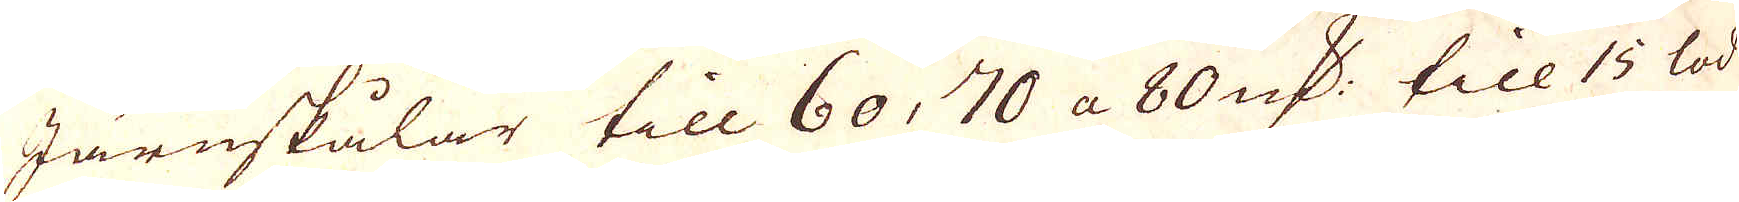Järnskålar till 60, 70 a 80 qv:r till 15 lod
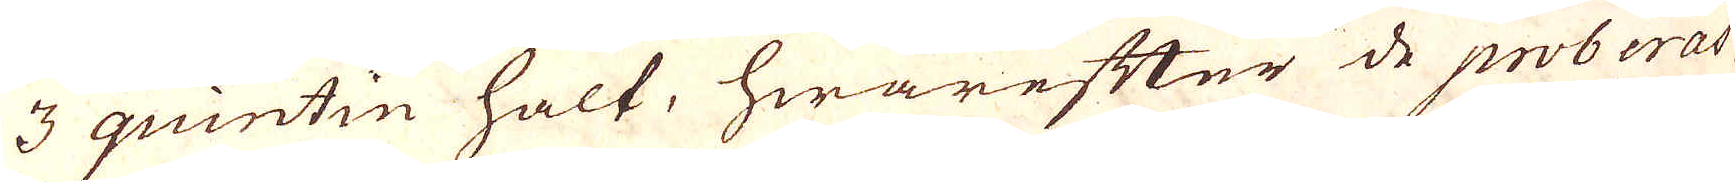3 quintin halt, hwarefter de proberas
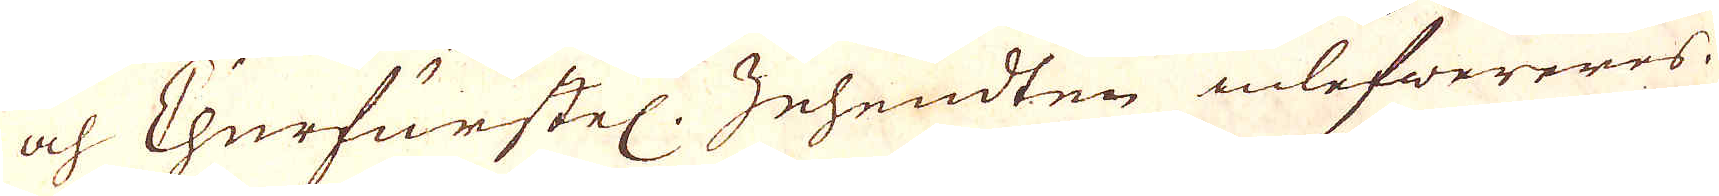och Churfurstel. Zehendten inlefwereres.
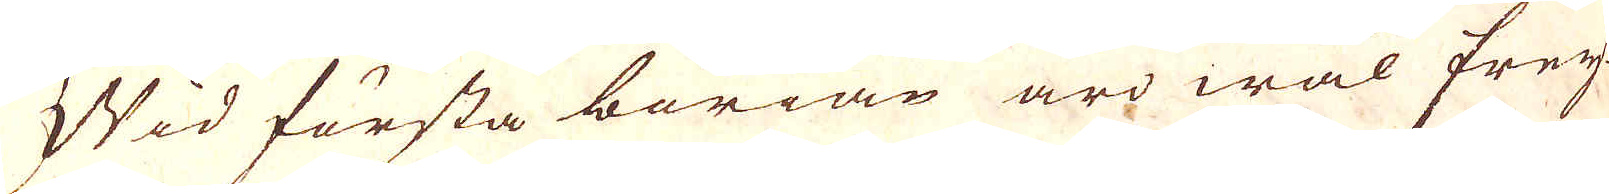Wid första börian äro wäl Frey-
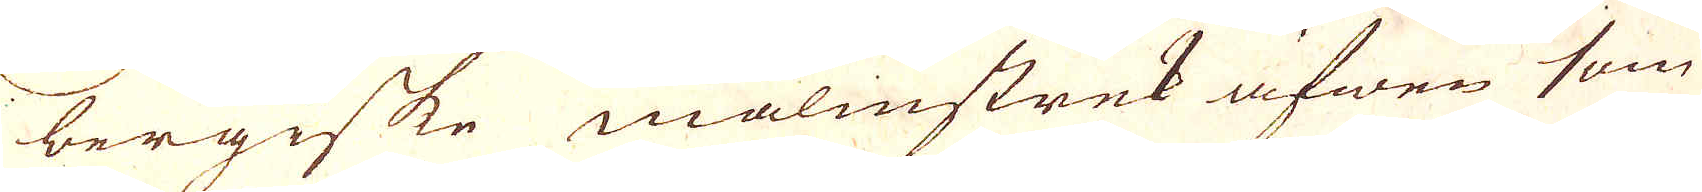bergiske malmstrek äfwen som
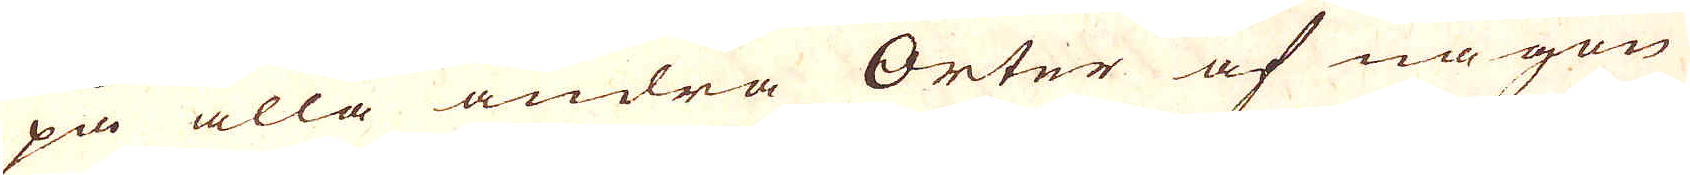på alla andra Orter af någon
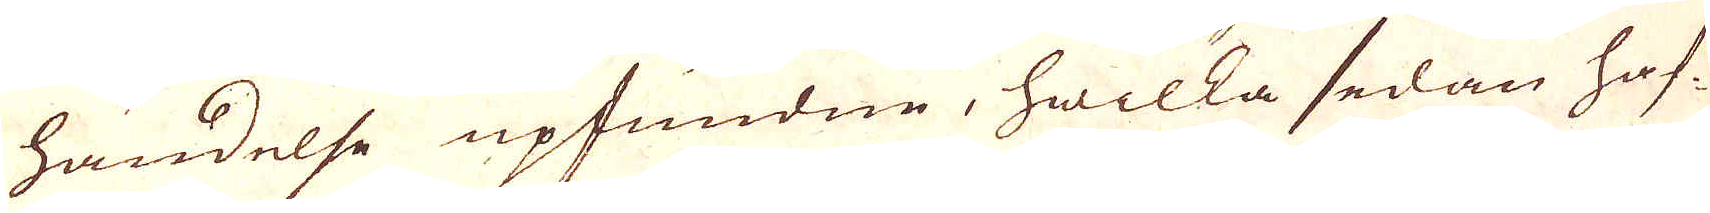händelse upfundne, hwilka sedan haf-
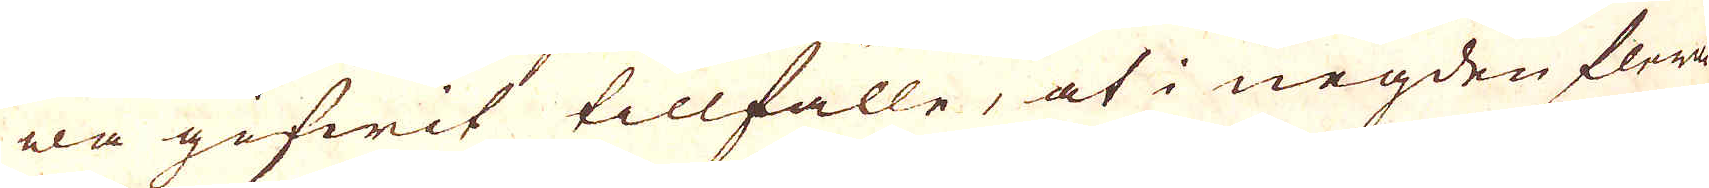wa gifwit tillfälle, at i negden flera
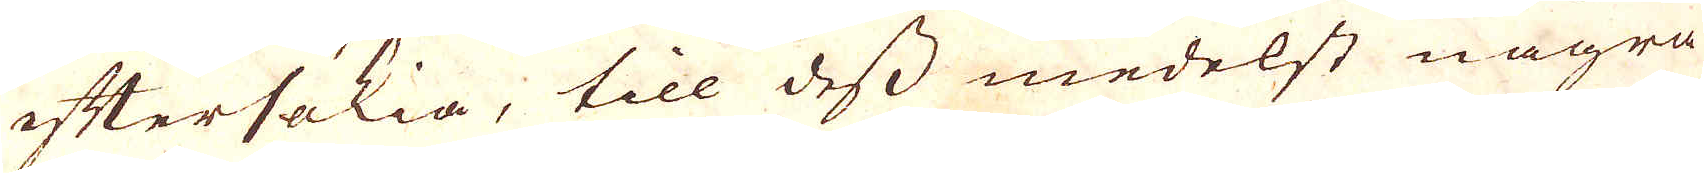eftersökia, till dess medelst några
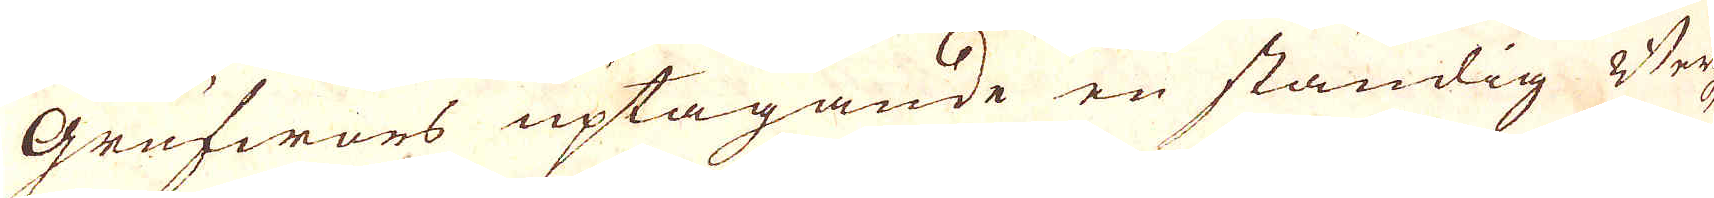Grufwors uptagande en ständig Bergz-
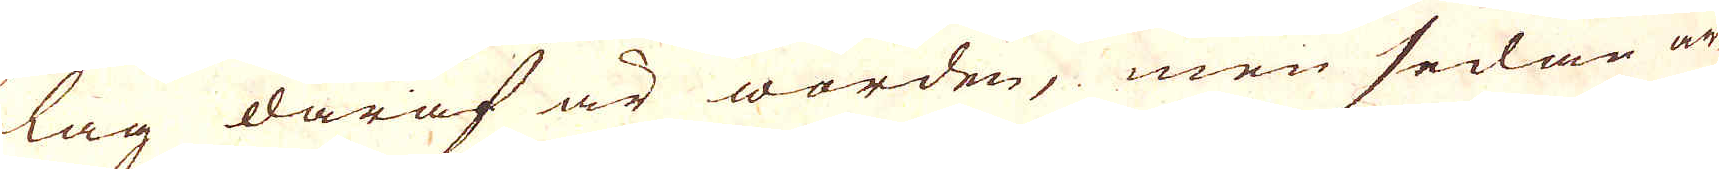lag daraf är worden, men sedan ar-
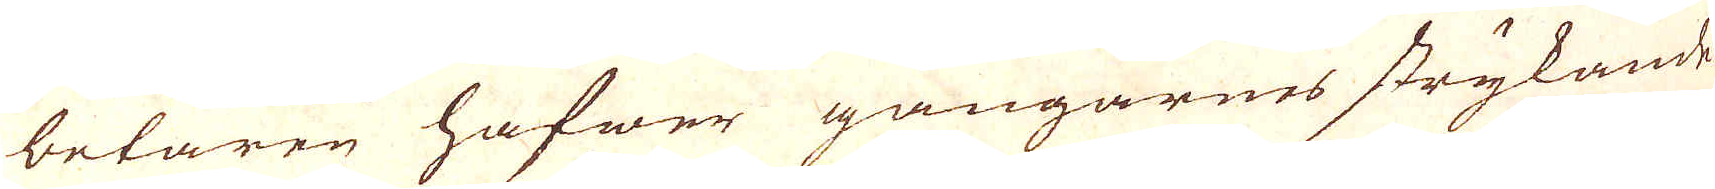betaren hafwer gångarnes strykande,
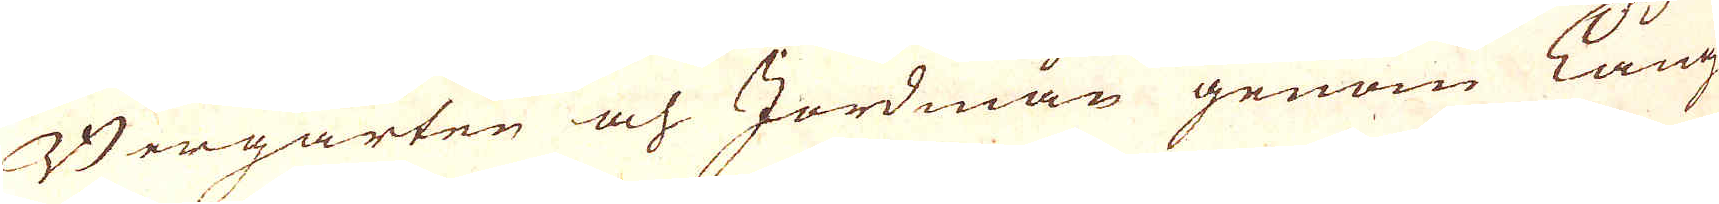Bergarten och Jordmån genom Lång-
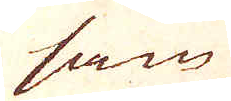sam
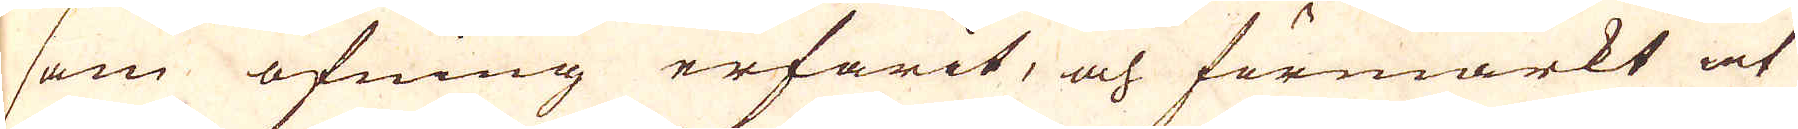sam öfning erfarit, och förmärkt at
